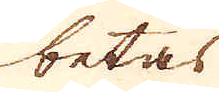betas
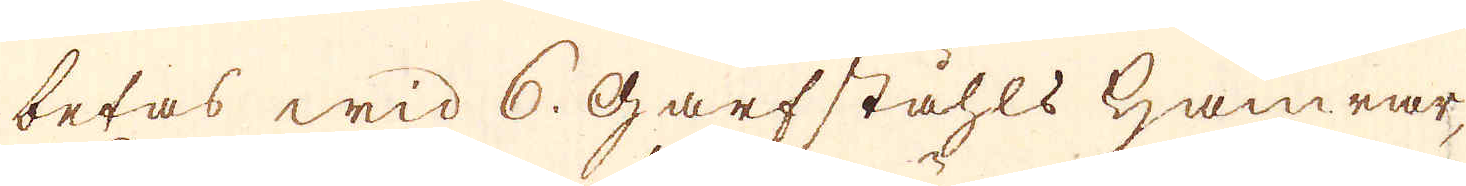betas wid 6. Garfståhls hamrar,
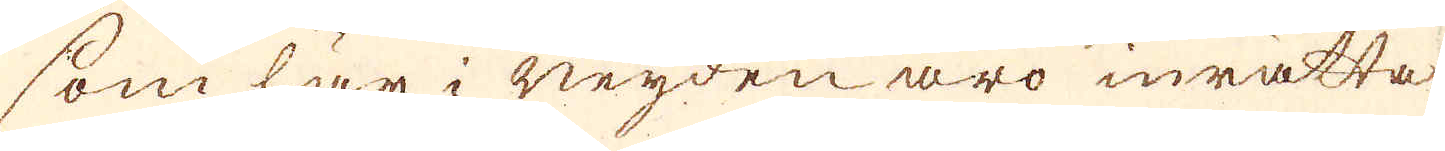som här i neijden äro inrätta-
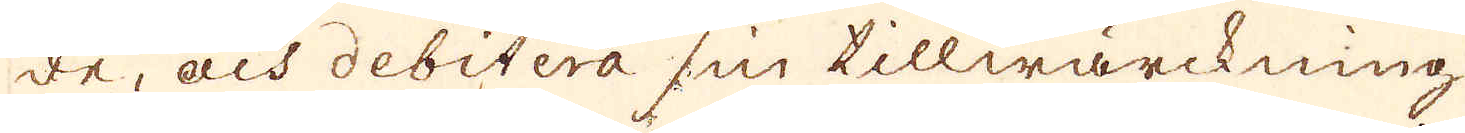de, och debitera sin tillwärckning
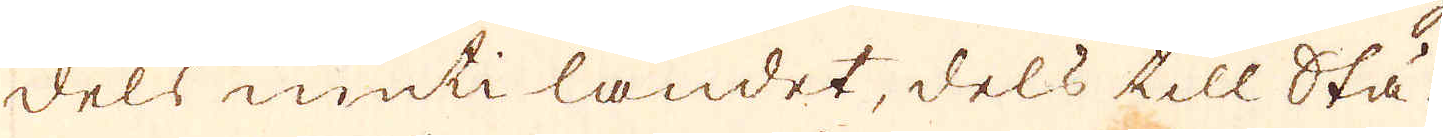dels inuti landet, dels till Stä-
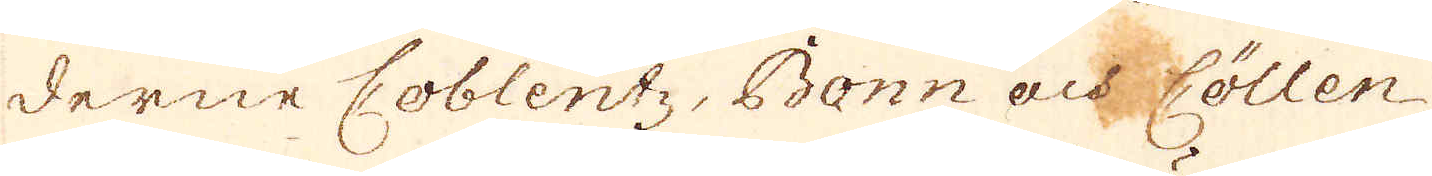derne Coblentz, Bonn och Cöllen
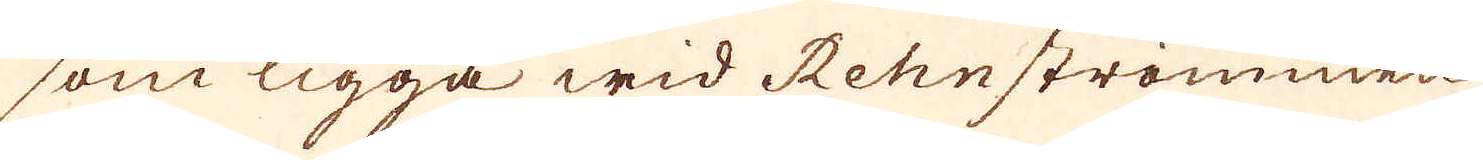som ligga wid Rehnströmmen
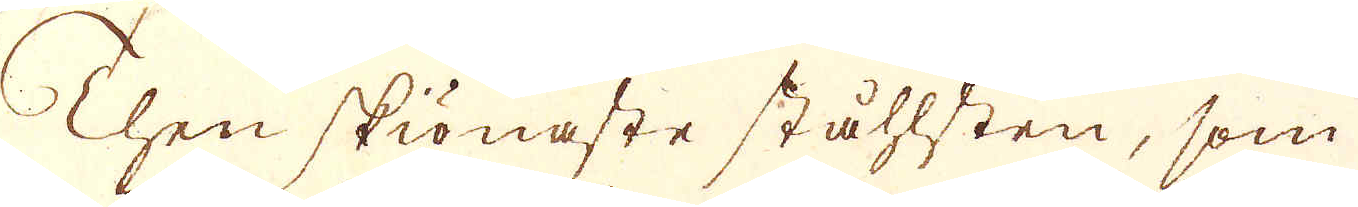Then skiönaste ståhlsten, som
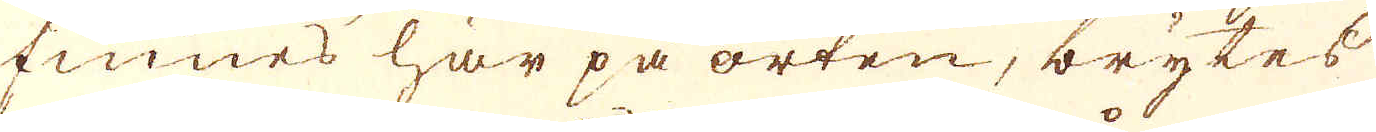finnes här på orten, brytes
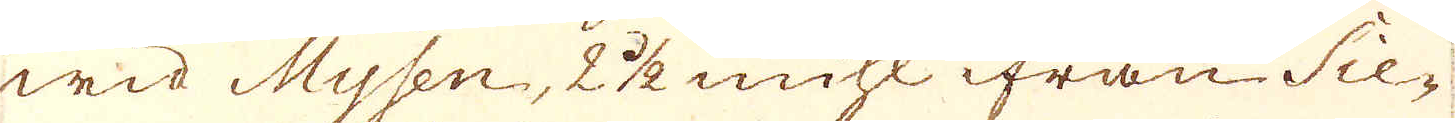wid Mysen, 2 1/2 mihl ifrån Sie-
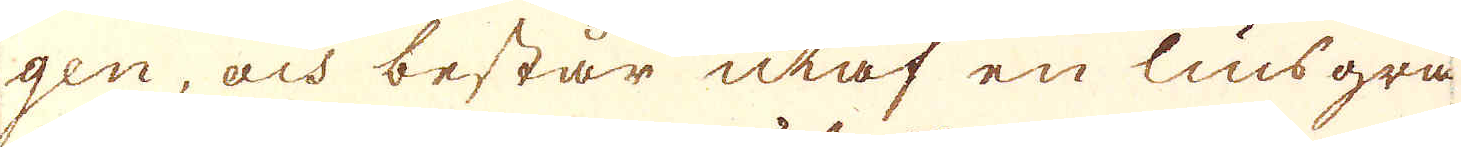gen, och består utaf en lius grå
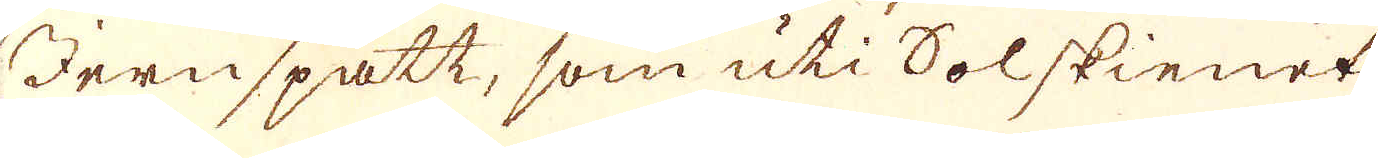Jernspatt, som uti Solskienet
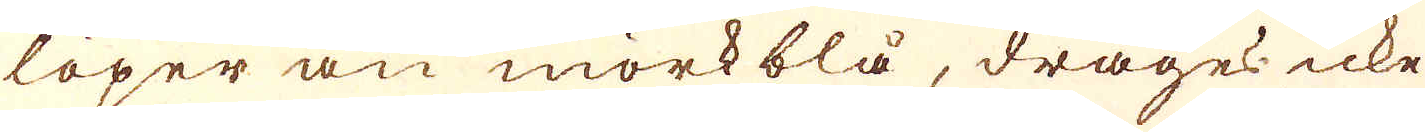löper an mörkblå, drages icke
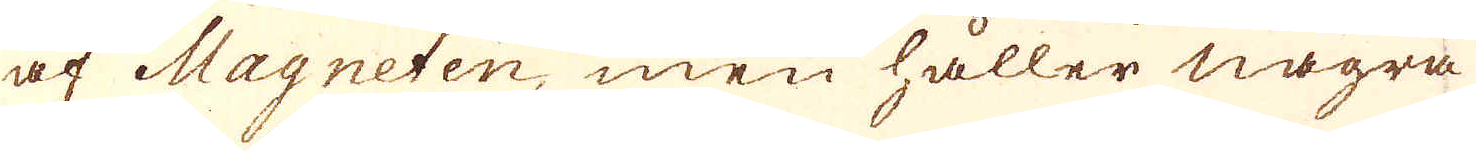af Magneten, men håller några
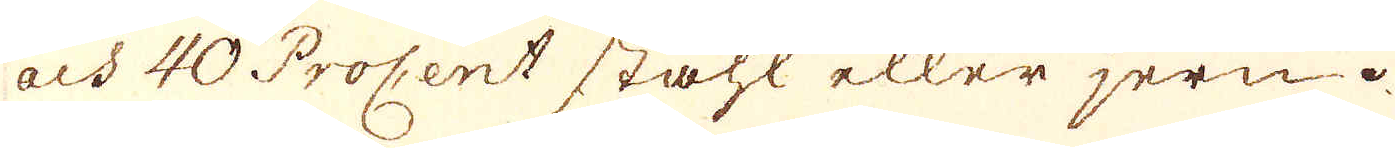och 40 Procent ståhl eller jern.
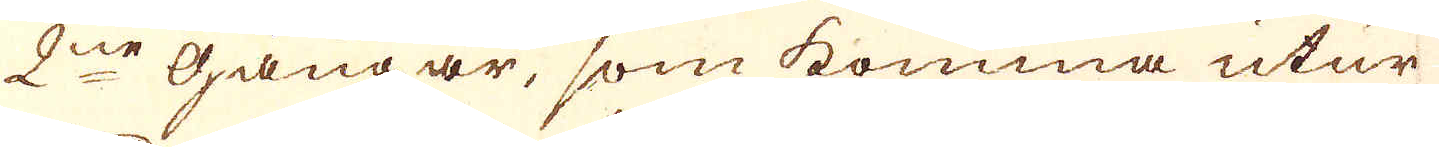2ne gångar, som komma utur
